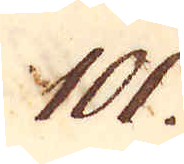101.
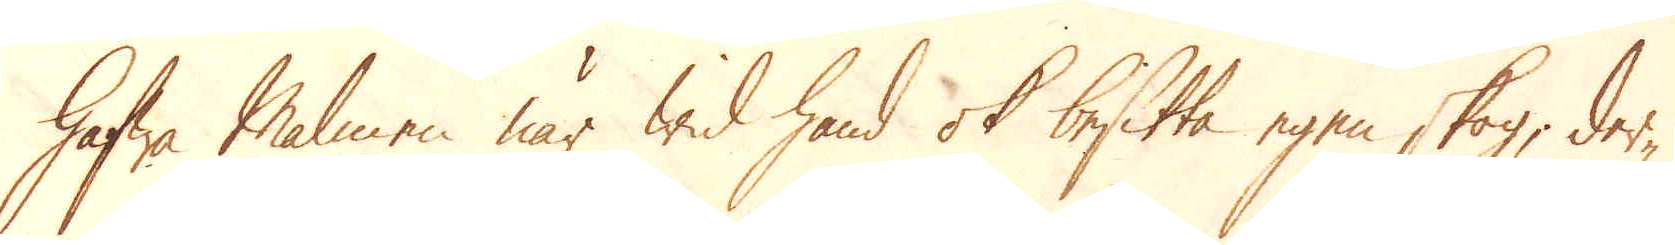hafwa Malmen när wid hand ok besitta egen skog, der-
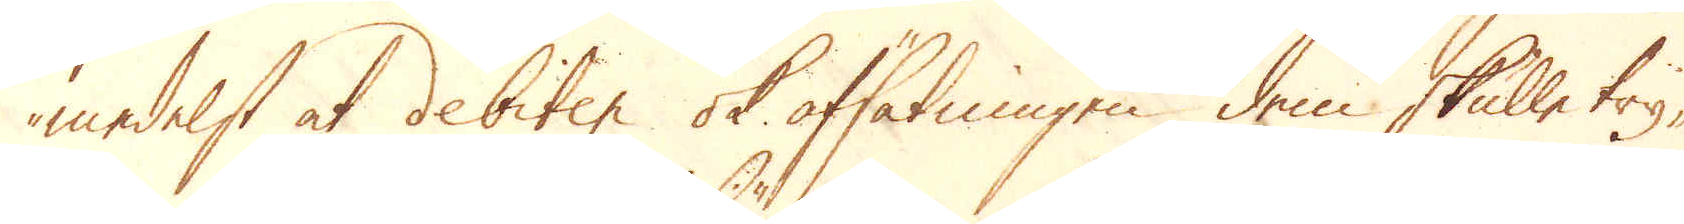medelst at debiten ok afsätningen dem skulle try-
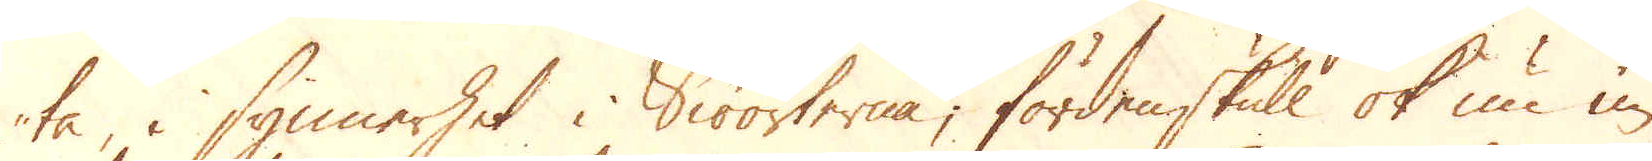ta, i synnerhet i Siöorterna; fördenskull ok nu un-
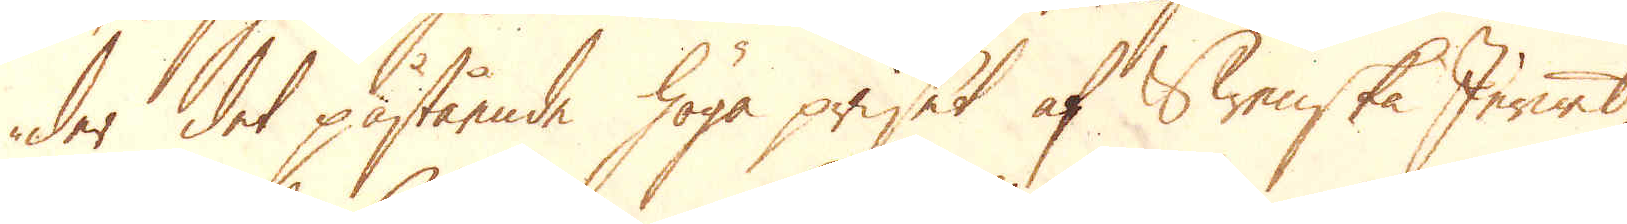der det påstående höga priset af Swenska Jernet,
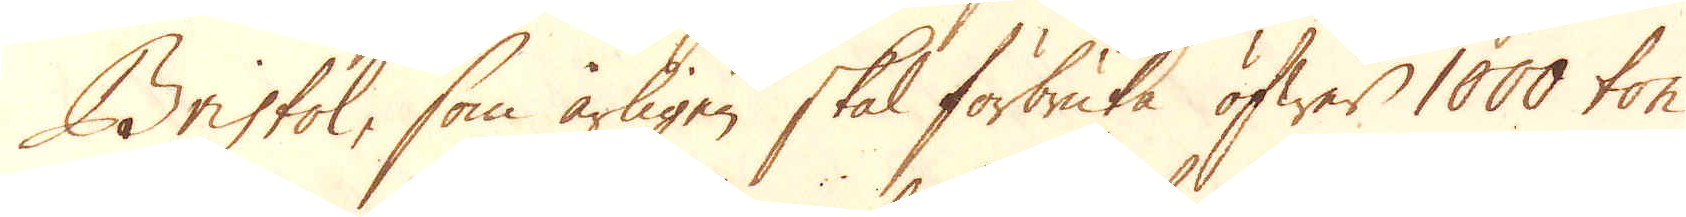Bristol, som årligen skal förbruka öfwer 1000 ton
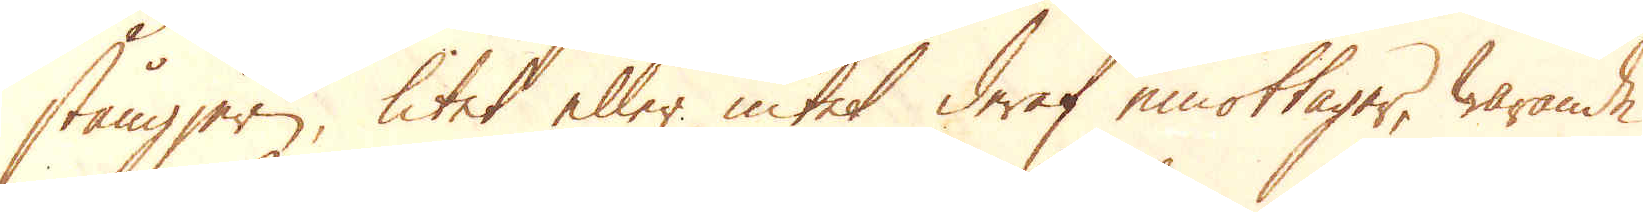stångjern, litet eller intet deraf emottager, warande
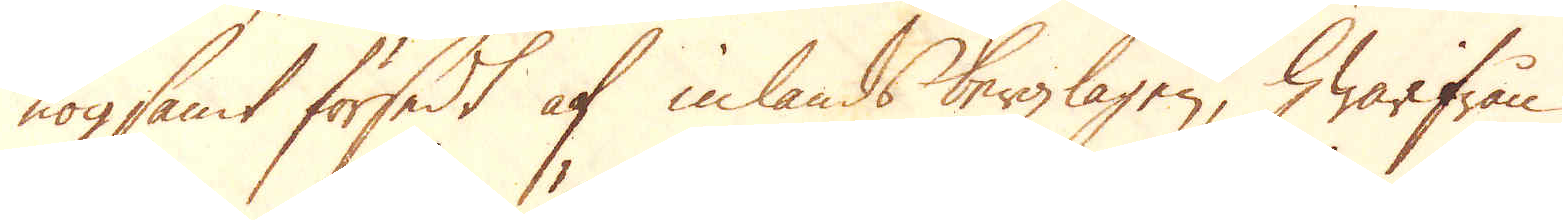nogsamt försedt af inlands bergzlagen, hwarifrån
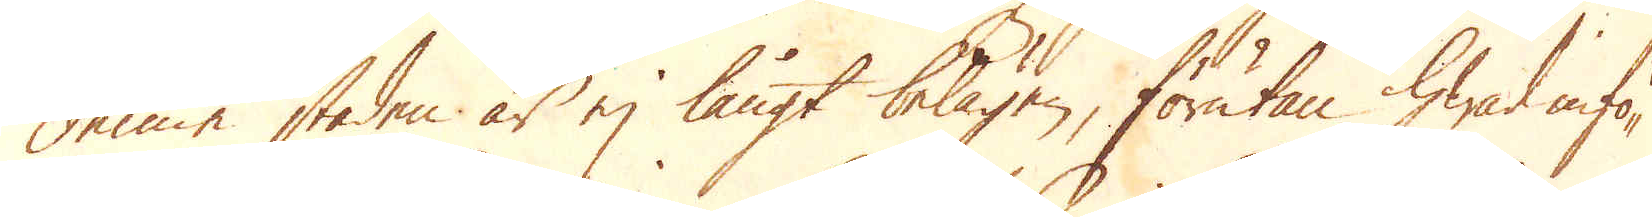denne staden är ej långt belägen, förutan hwad infö-
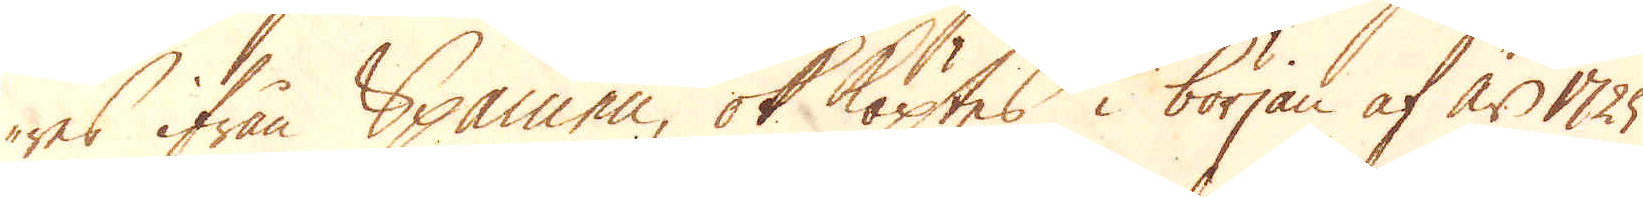res ifrån Spanien, ok köptes i början af år 1725
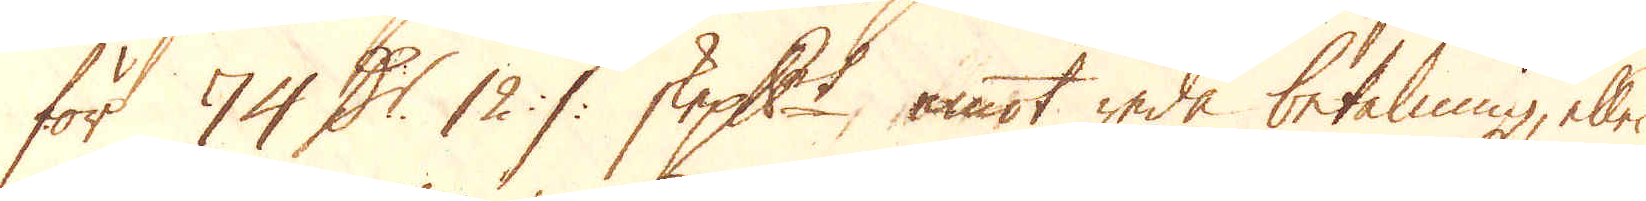för 74 D:r 12 :/: skeppundet, emot reda betalning, eller
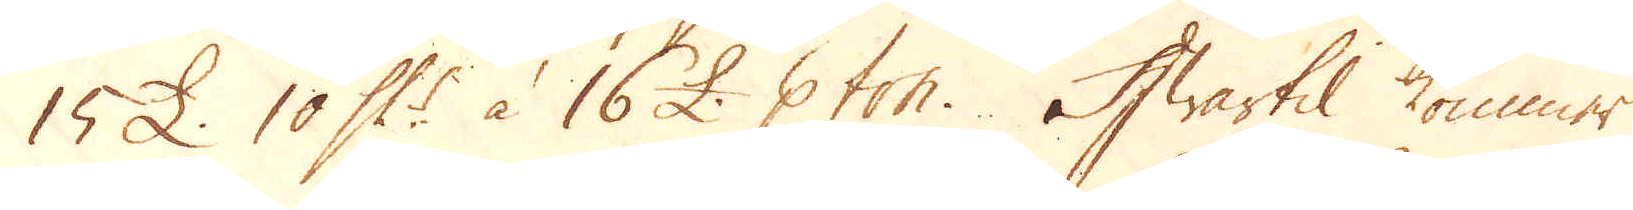15 £. 10 Sk:r à 16 £. p ton. Hwartil kommer
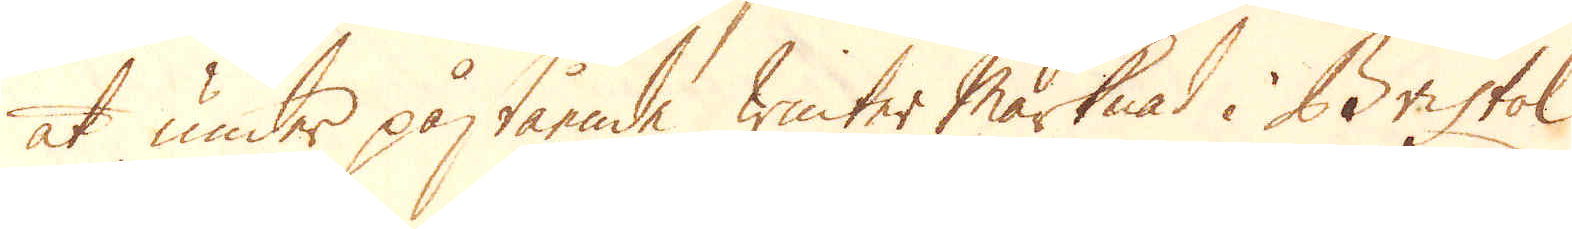at under påstående winter Marknad i Bristol
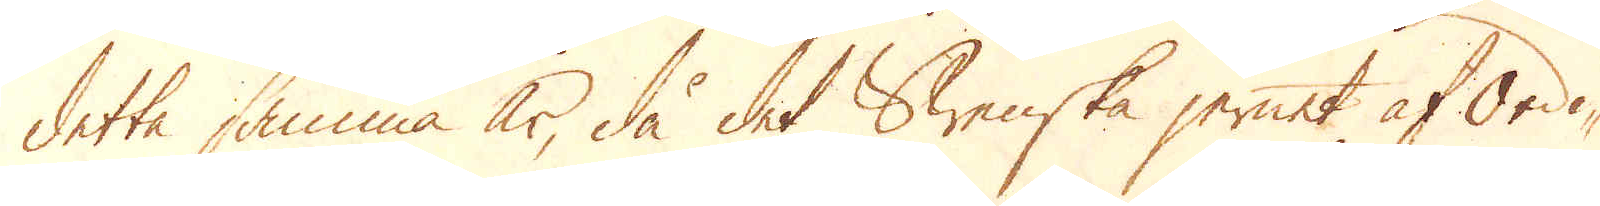detta samma år, då det Swenska jernet af Ordi-
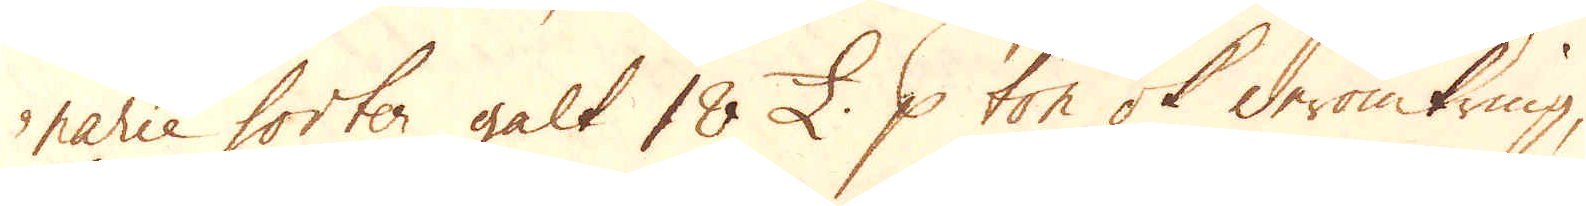narie sorter galt 18 £. p ton ok deromkring,
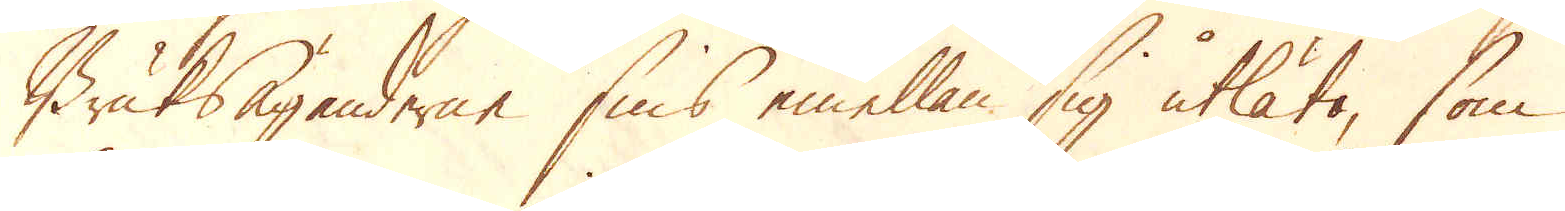Bruksäganderne sins emellan sig utlåta, som
